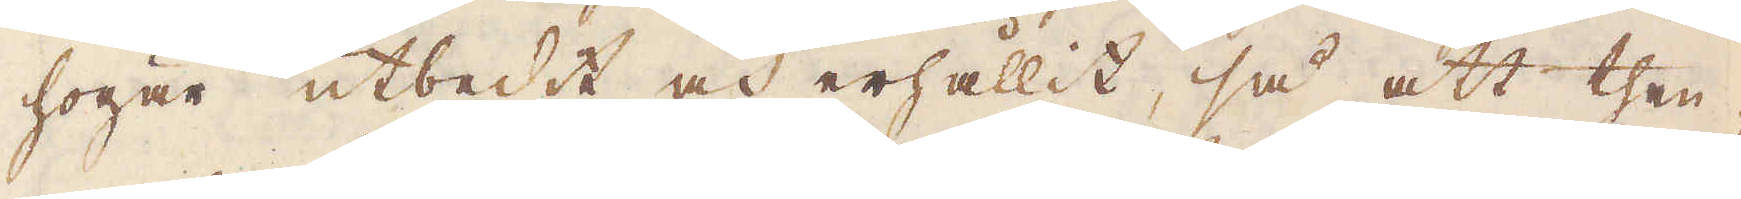högar utbedet och erhållit, så att then-
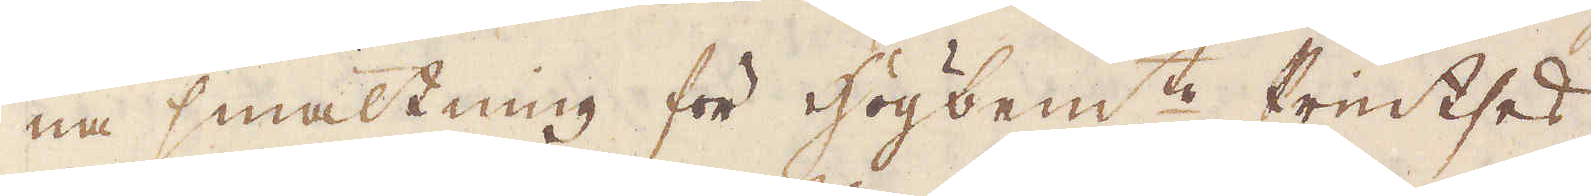na smältning för högbem:te Printses
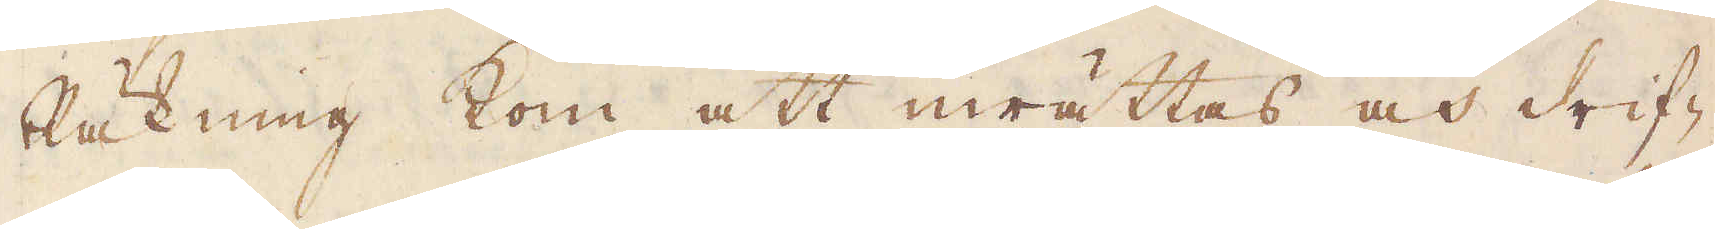Räkning kom att inrättas och drif-
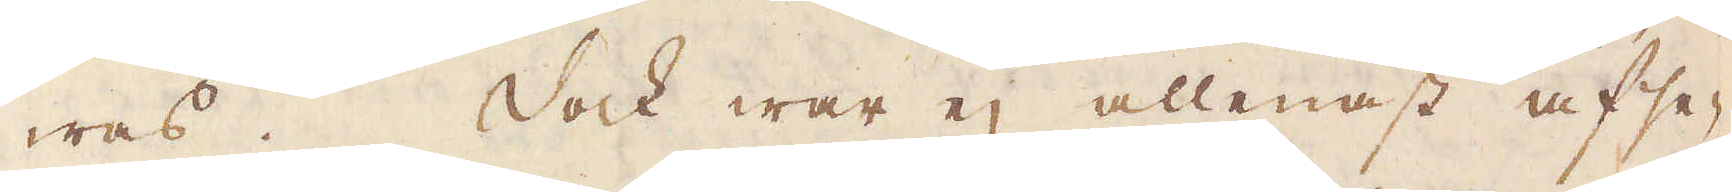was. Dock war ej allenast afse-
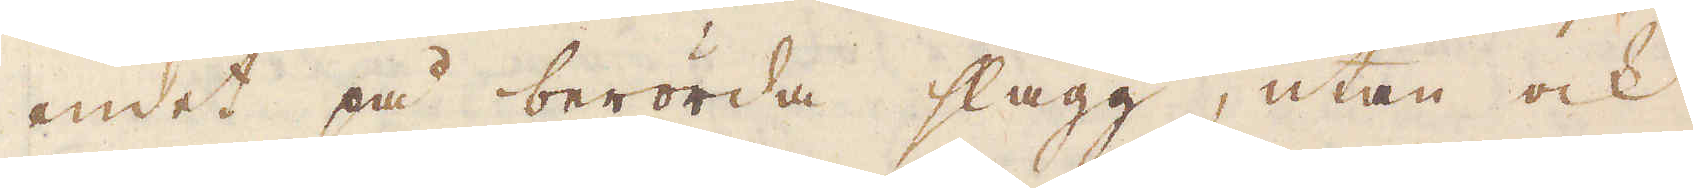endet på berörda slagg, utan ock
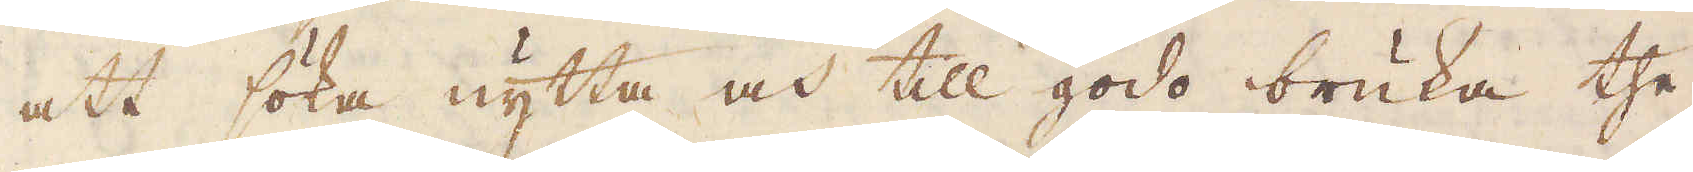att söka nytta och till godo bruka the
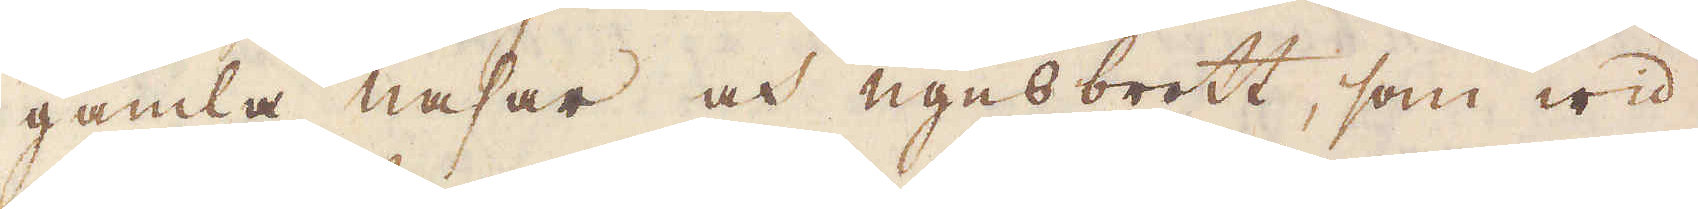gamla nasar och ugnsbrott, som wid
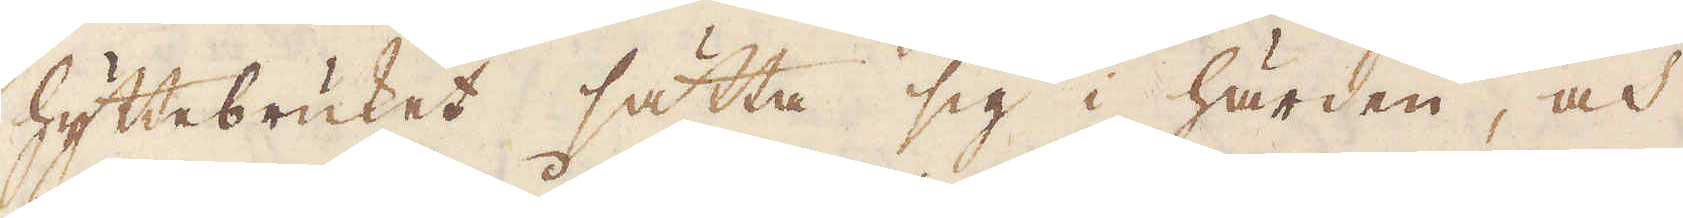hyttebruket sätta sig i härden, och
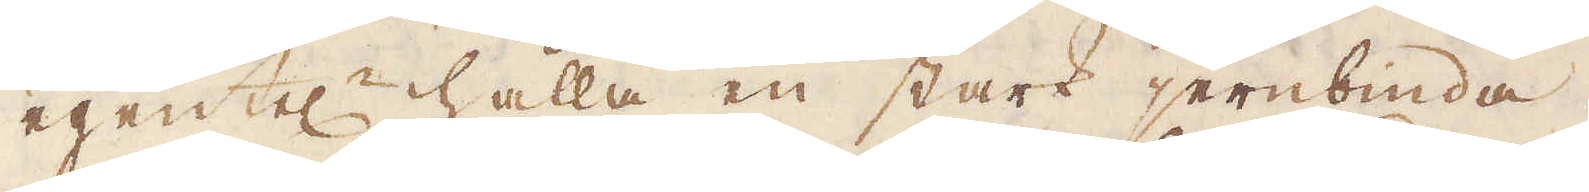egentel:n hålla en stark jernbinda,
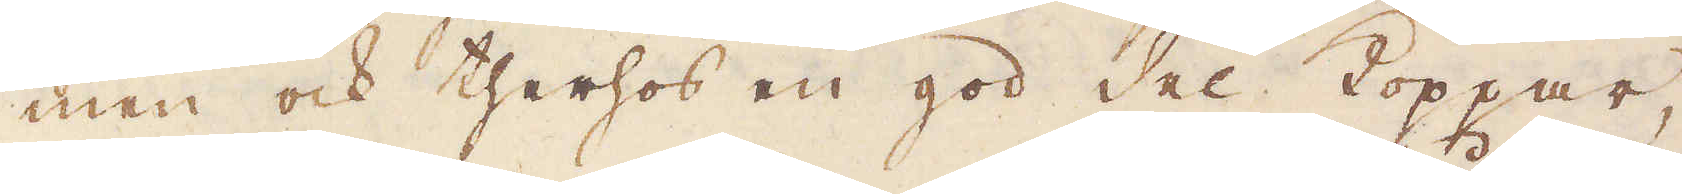men ock therhos en god del Koppar,
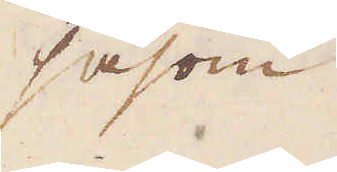såsom
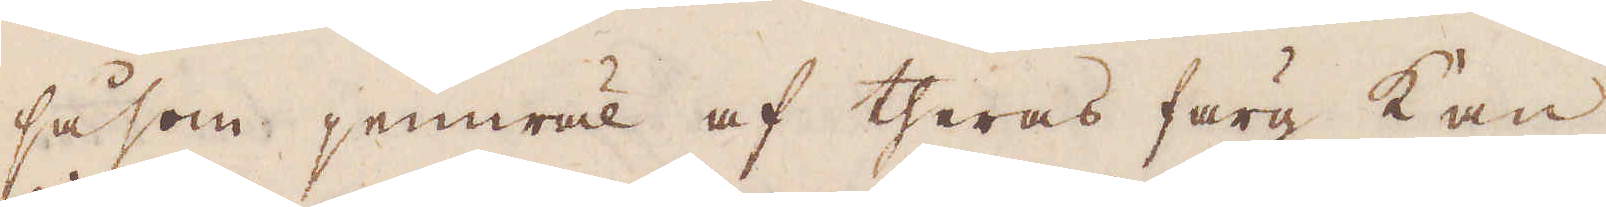såsom jemwäl af theras färg kan
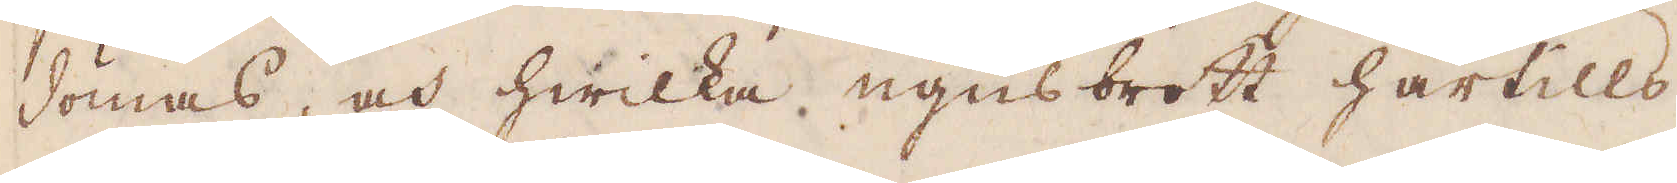dömas, och hwilka ugns brott härtills
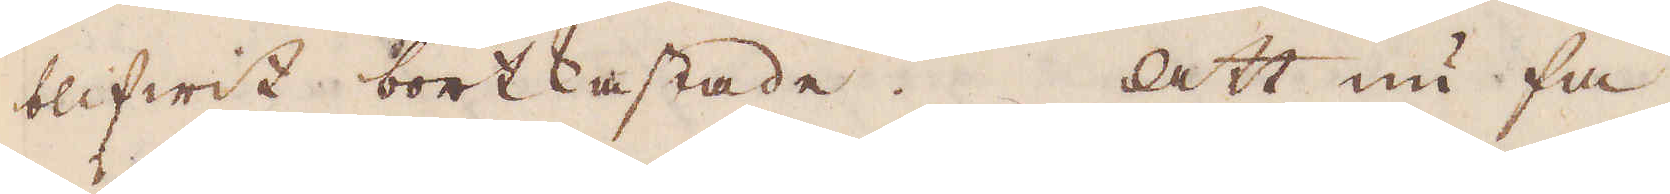blifwit bortkastade. Att nu få
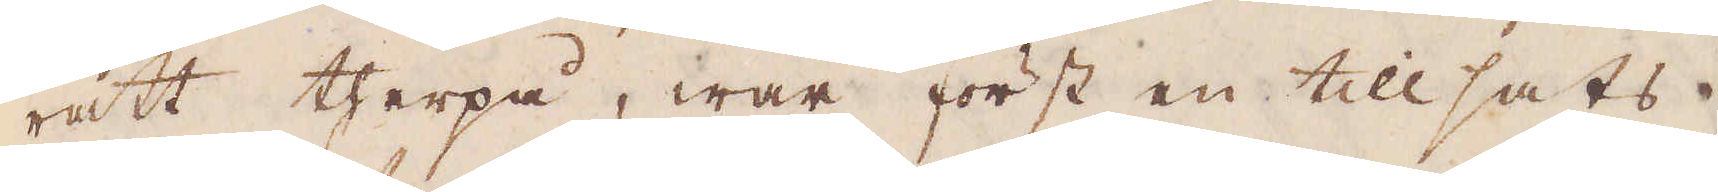rätt therpå, war först en tillsats
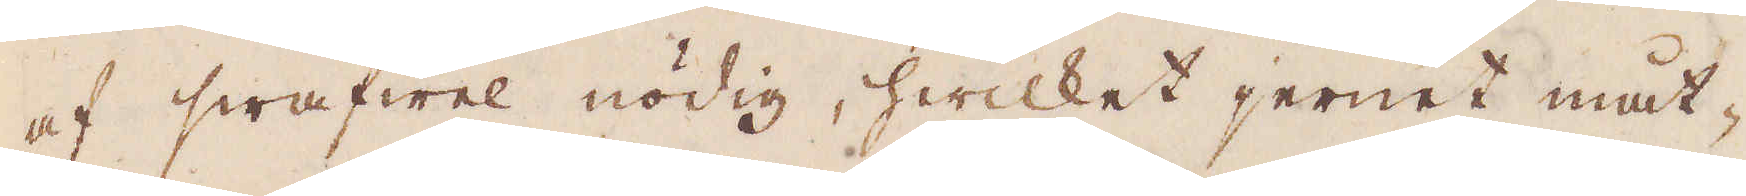af swafwel nödig, hwilket jernet måt-
